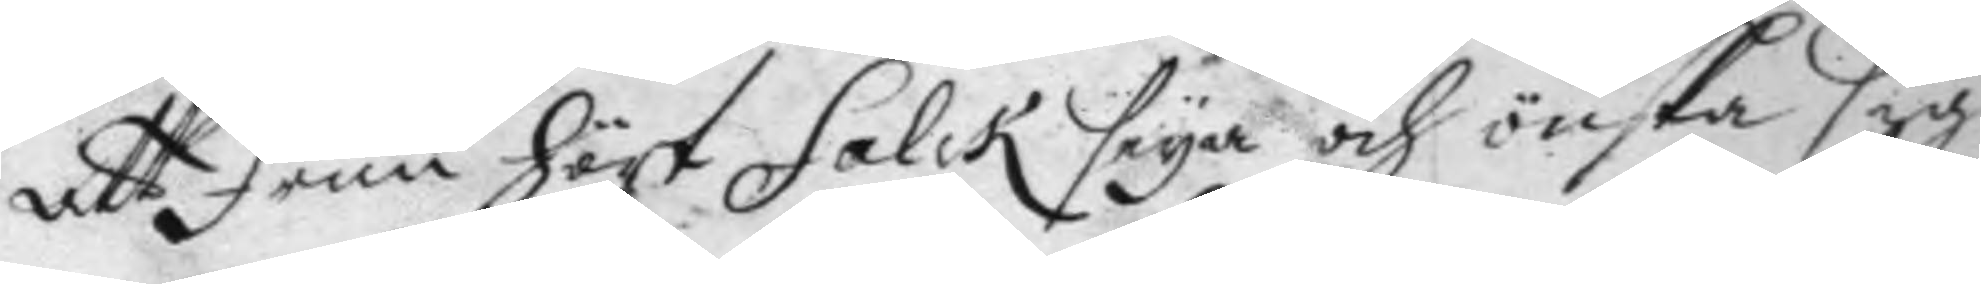att frun hört Falck seya och önska sig
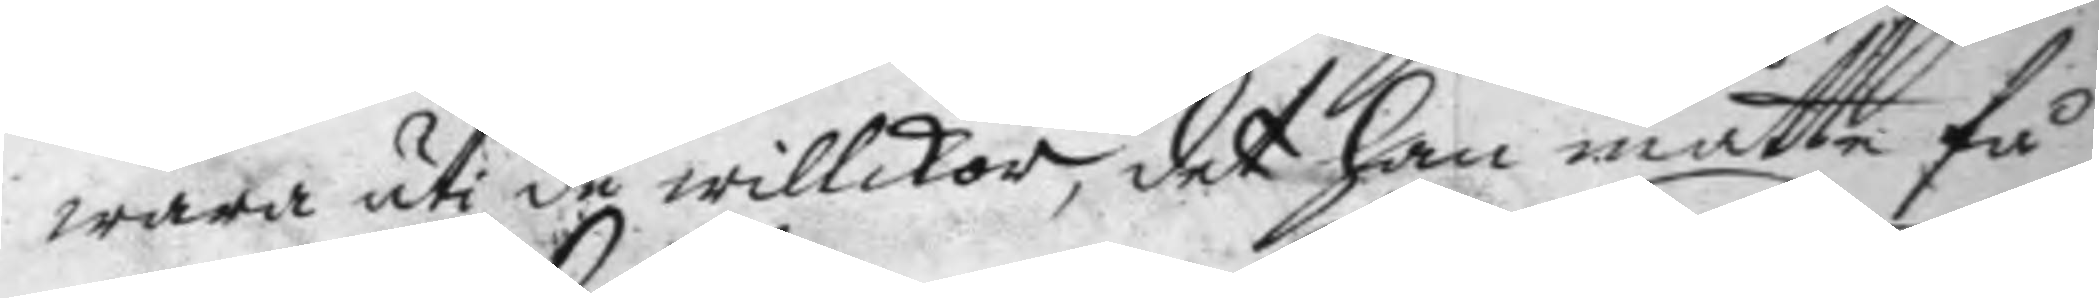wara uti de willikor, det han måtte få
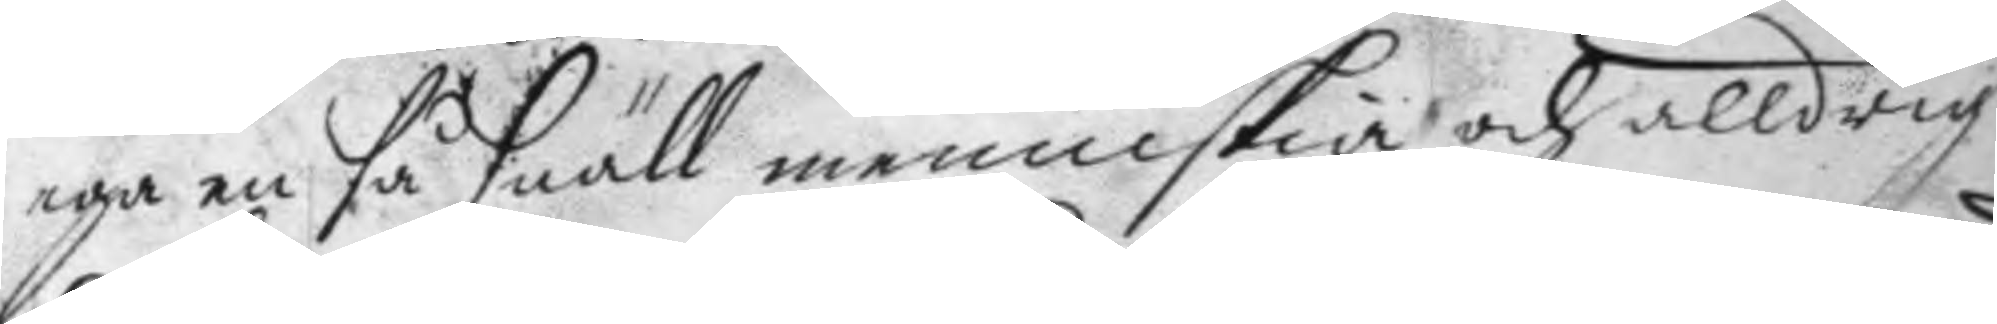ega en så snäll menniskia och alldrig
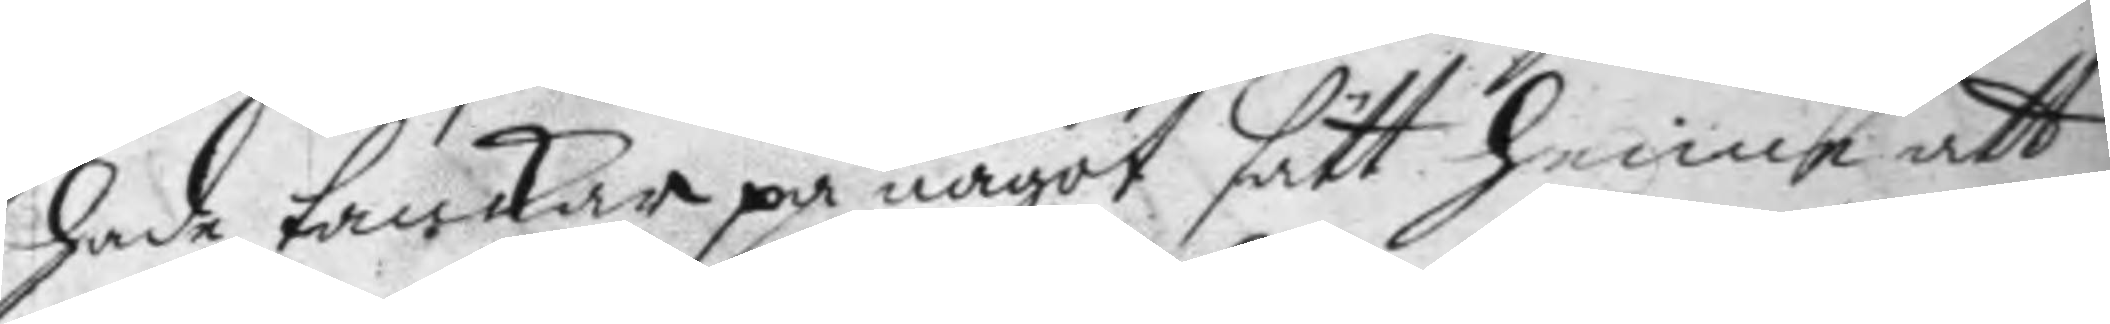hade tankar på något sätt henne att
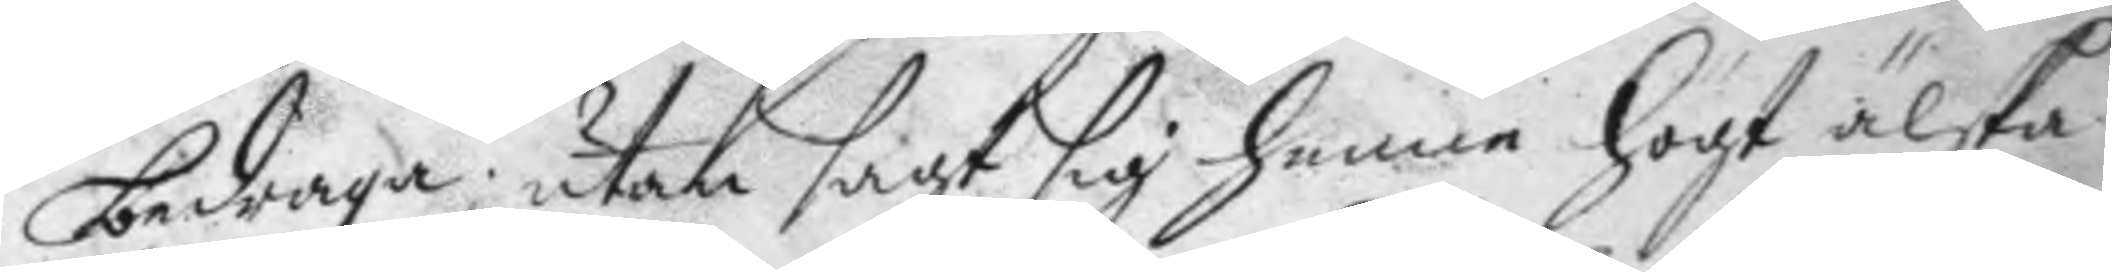bedraga: utan sagt sig henne högt älska
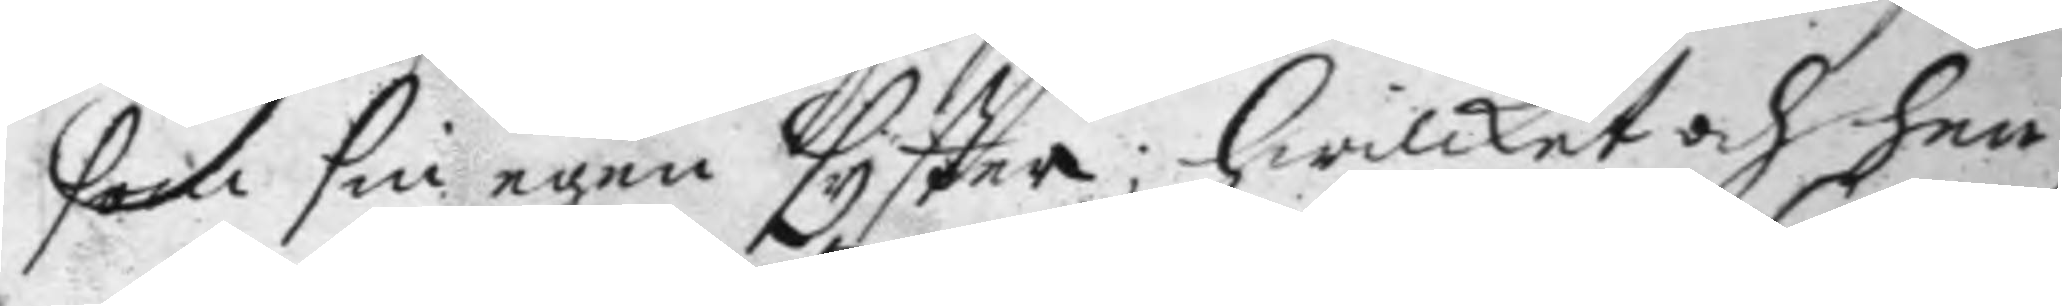som sin egen syster; hwilket och hen¬
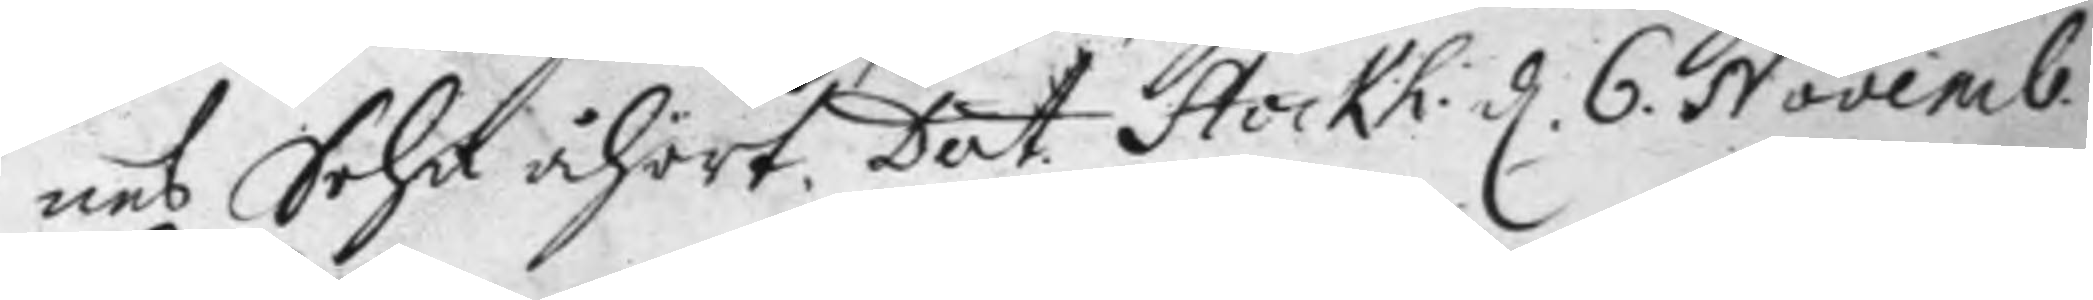nes Sohn åhört. Dat. Stockh: d 6 Novemb: 
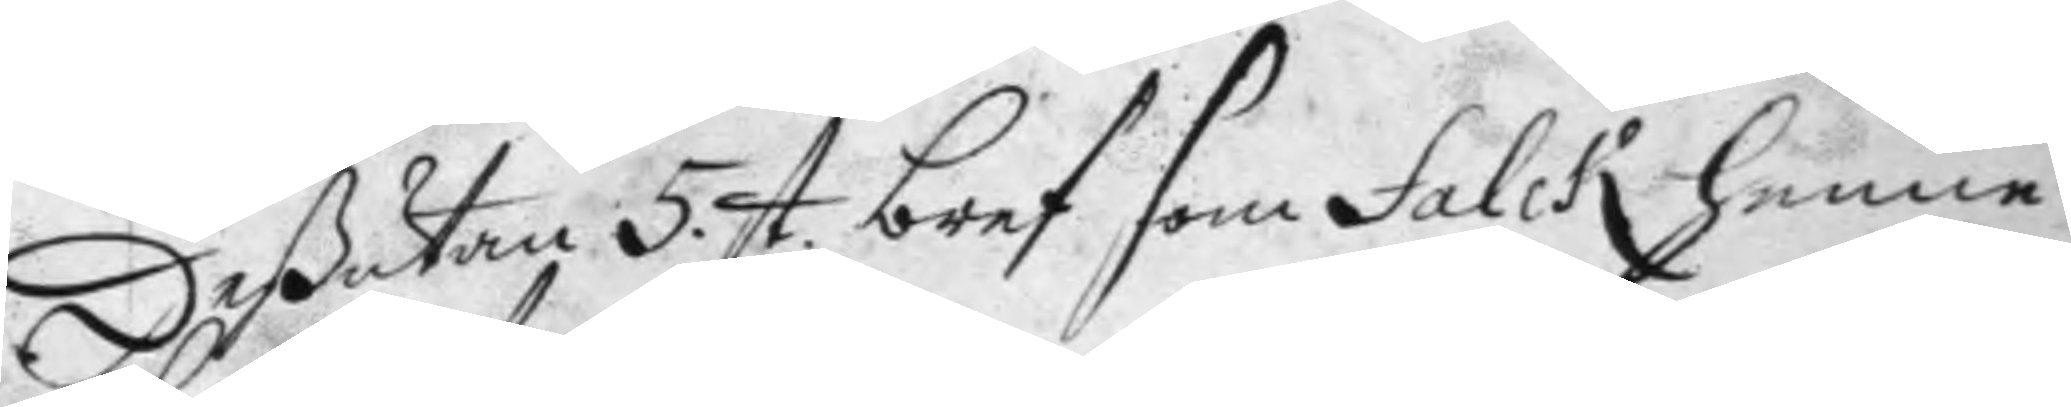deßutan 5. st bref som Falck henne 
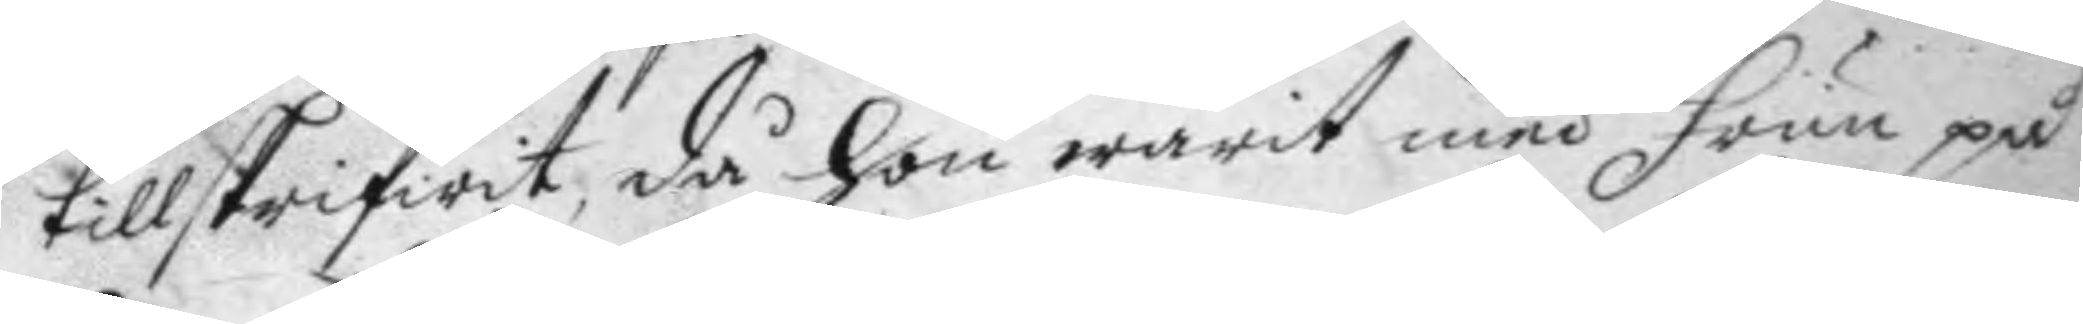tillskrifwit, då hon warit med frun på
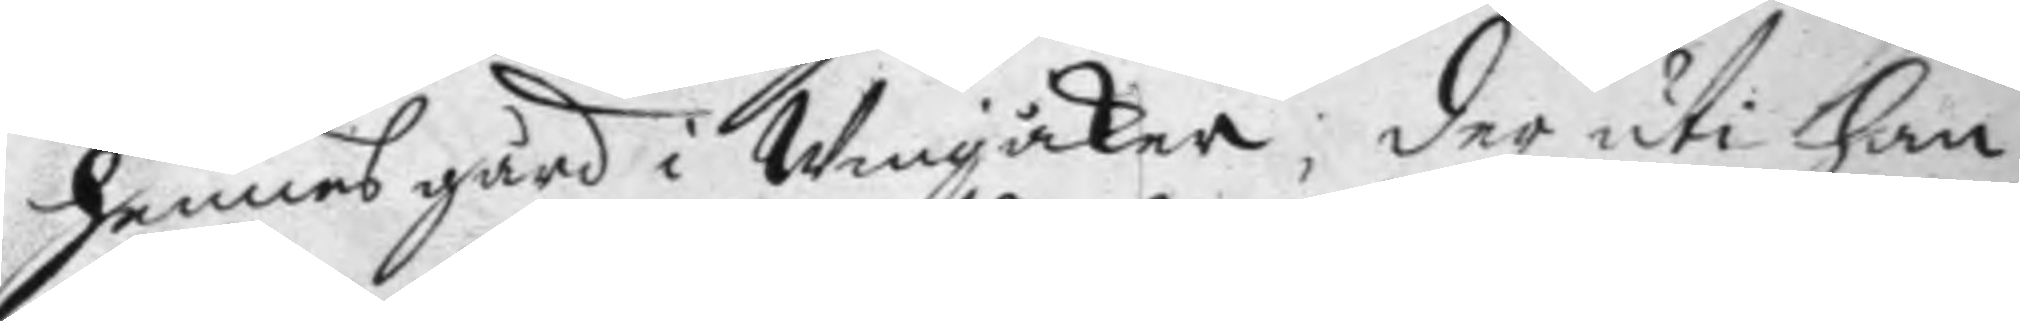hennes gård i Wingåker, der uti han
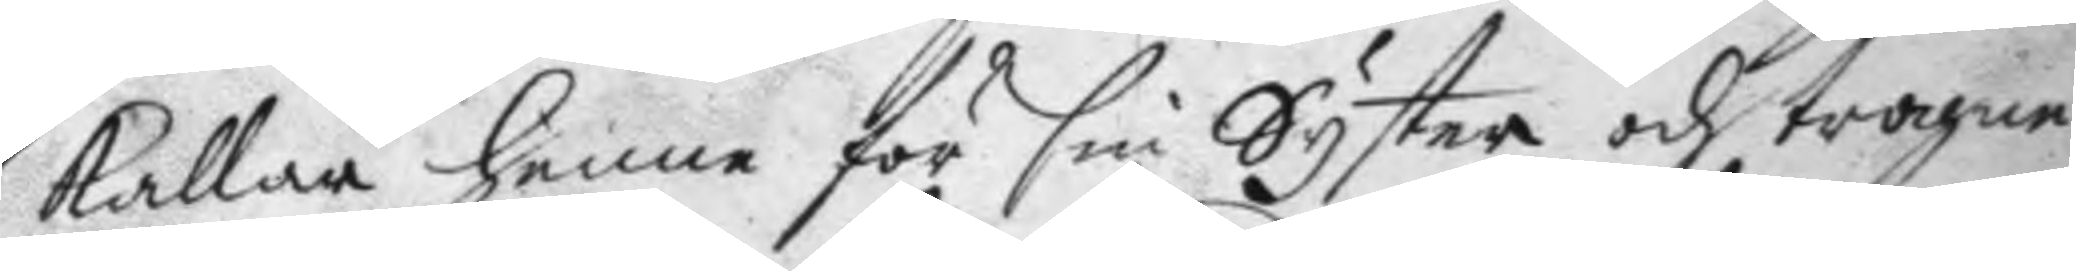kallar henne för sin Syster och trogne¬
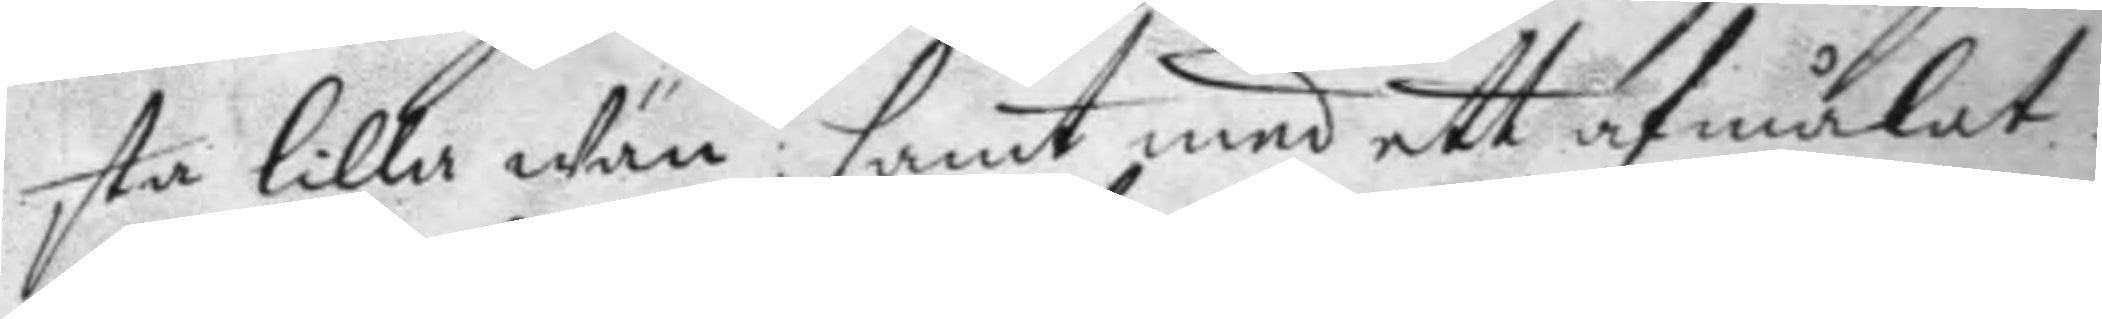sta lilla wän: samt med ett afmålat.
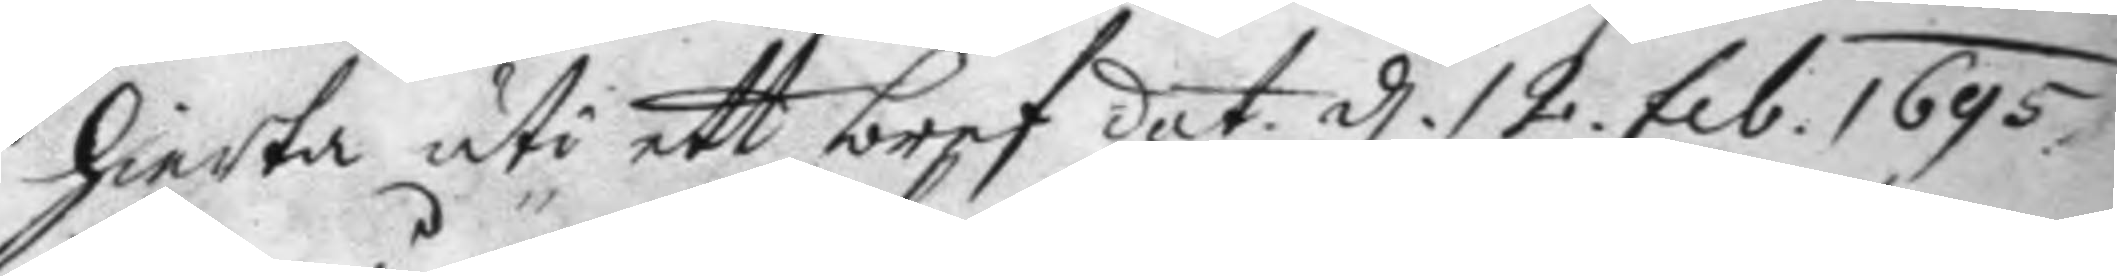hierta uti ett bref dat d. 12 feb. 1695. 
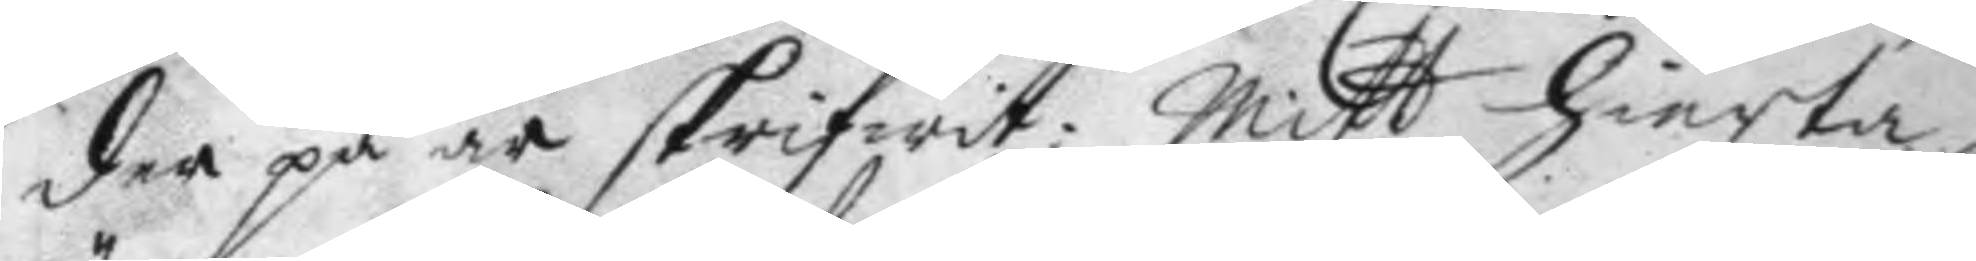der på är skrifwit: Mitt hierta
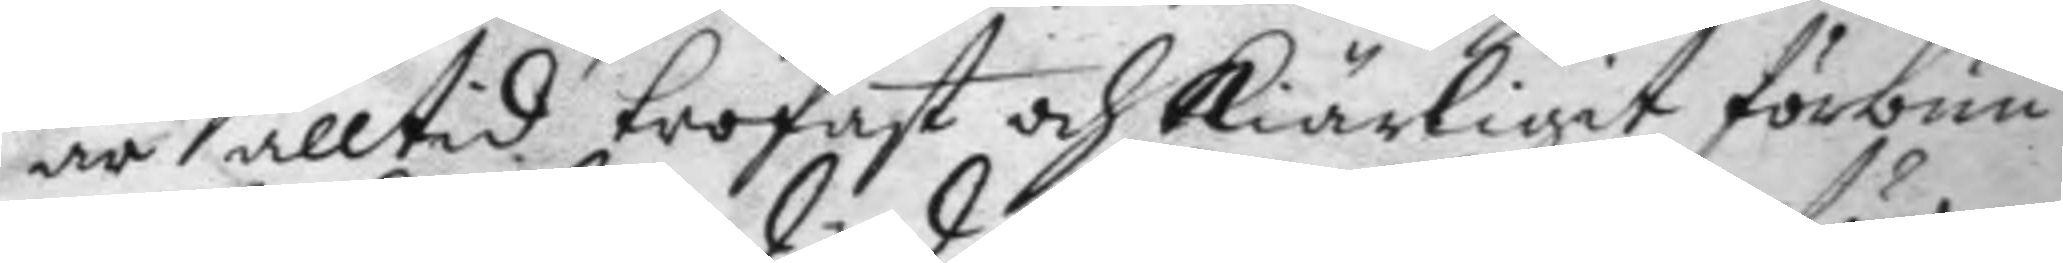är alltid trofast och Kiärligit förbun¬
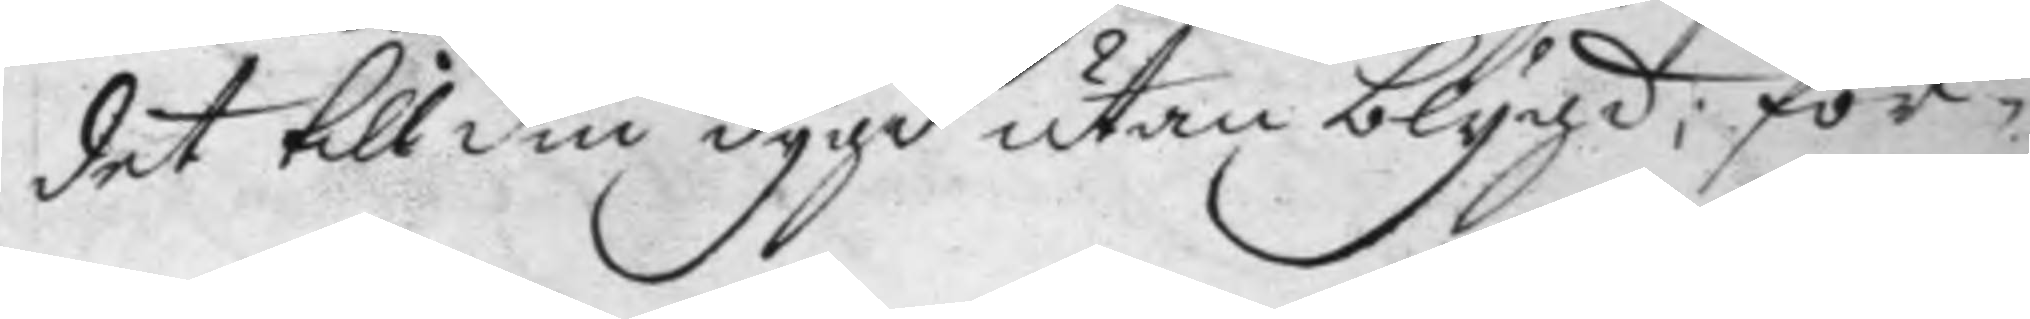det till din dygd utan blygd; för¬
